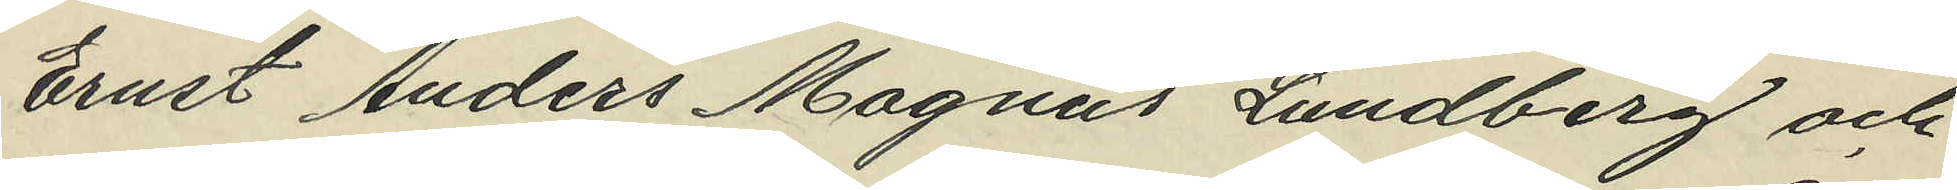Ernst Anders Magnus Lundberg och
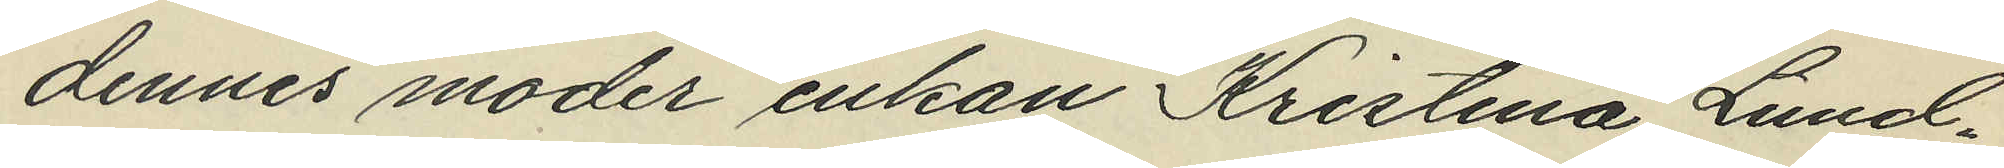dennes moder enkan Kristina Lund¬
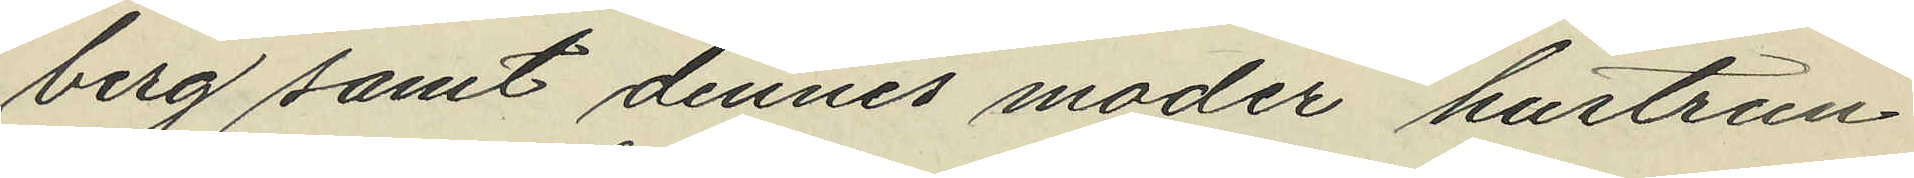berg samt dennes moder hustrun
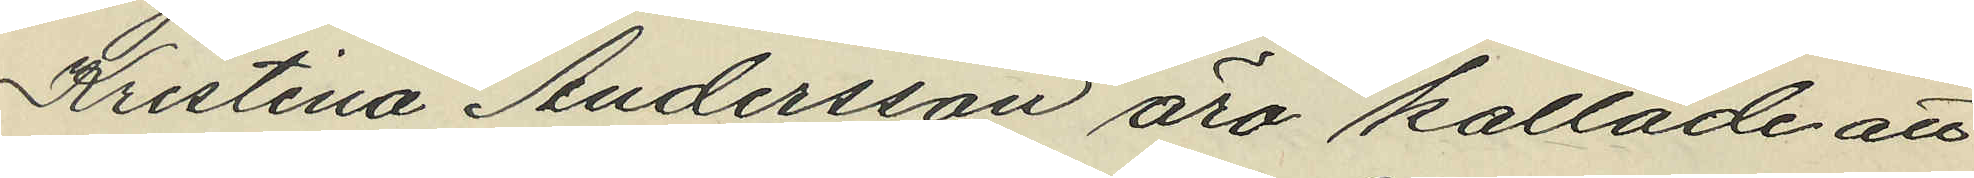Kristina Andersson äro kallade att
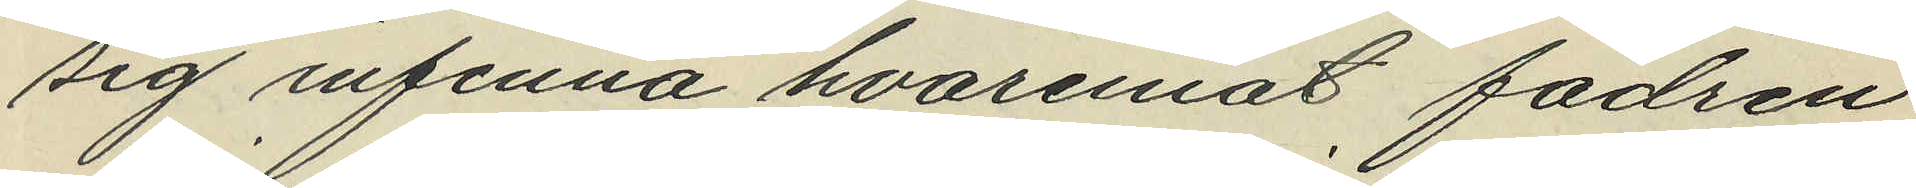sig infinna hvaremot fadren
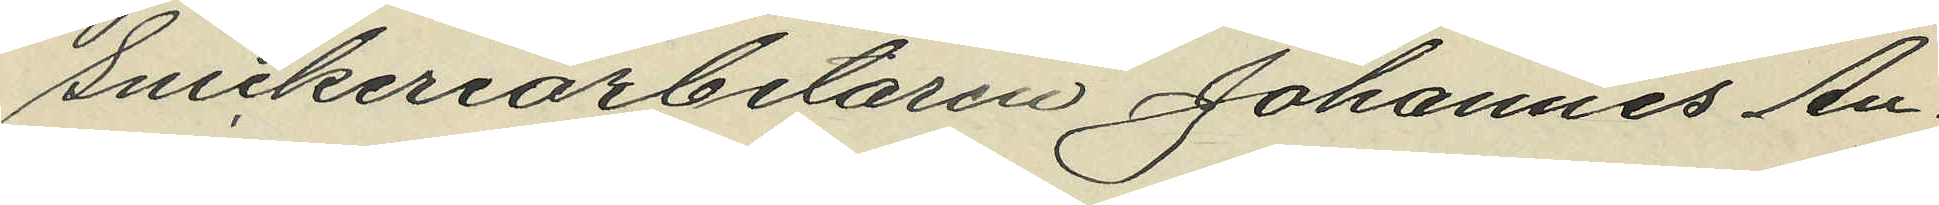Snickeriarbetaren Johannes An¬
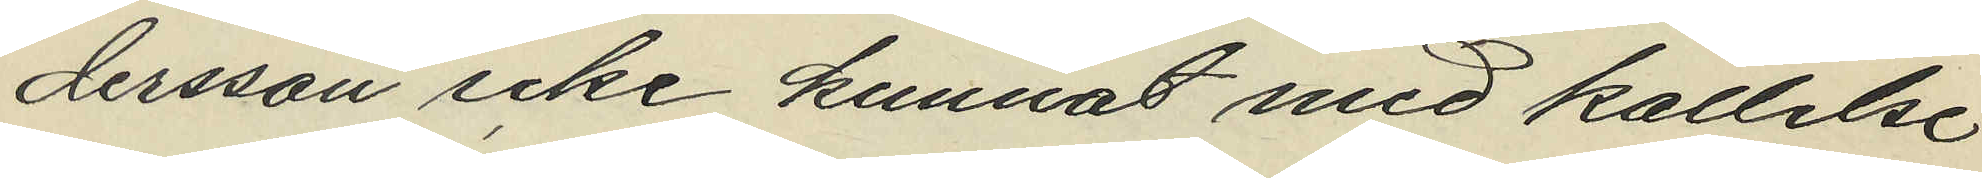dersson icke kunnat med kallelse
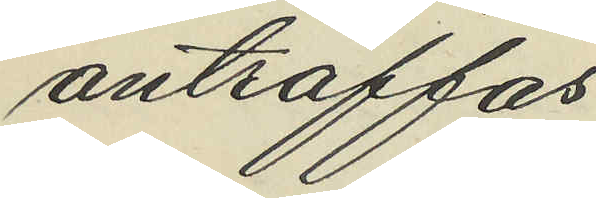anträffas.
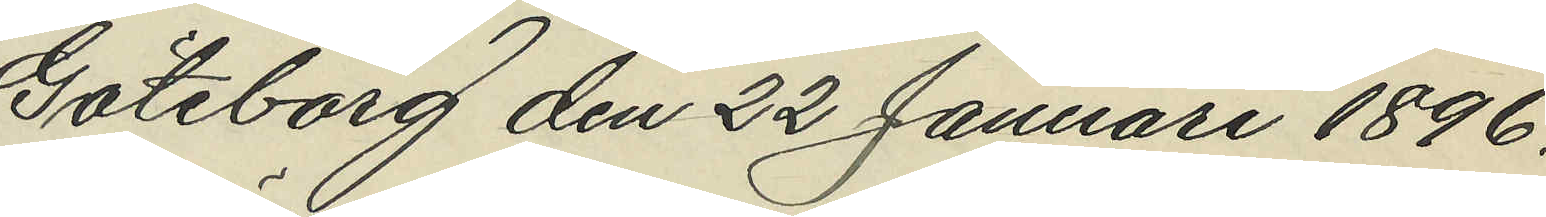Göteborg den 22 Januari 1896.
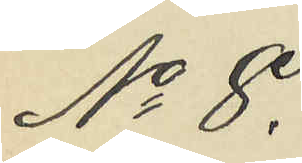No 8.
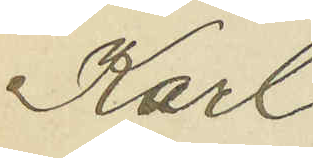Karl
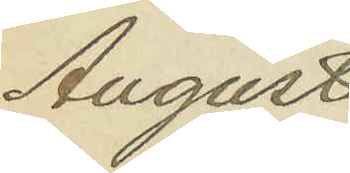August
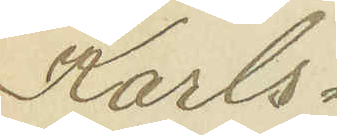Karls¬
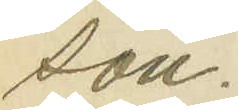son.
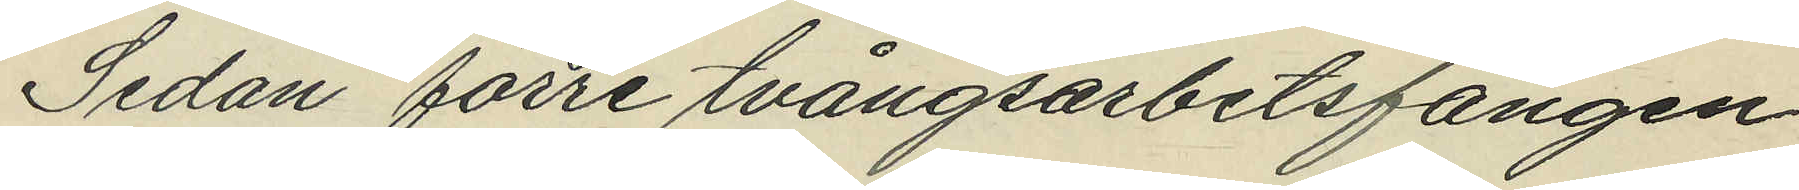Sedan förre tvångsarbetsfången
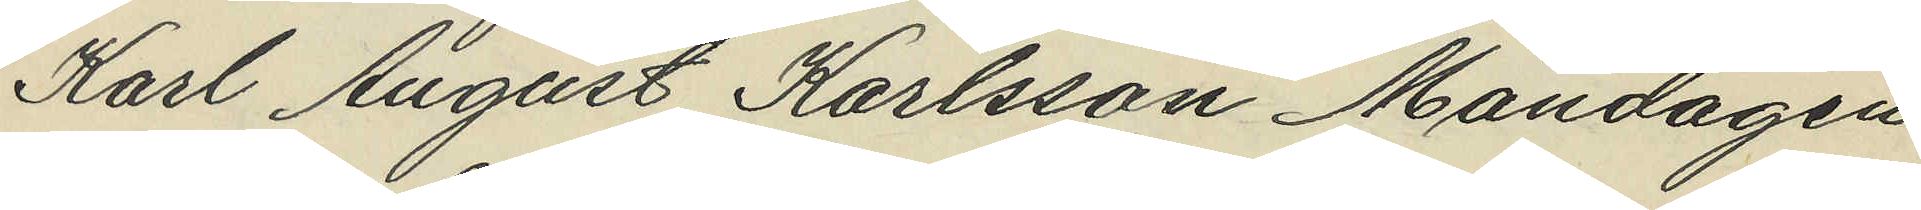Karl August Karlsson Måndagen
